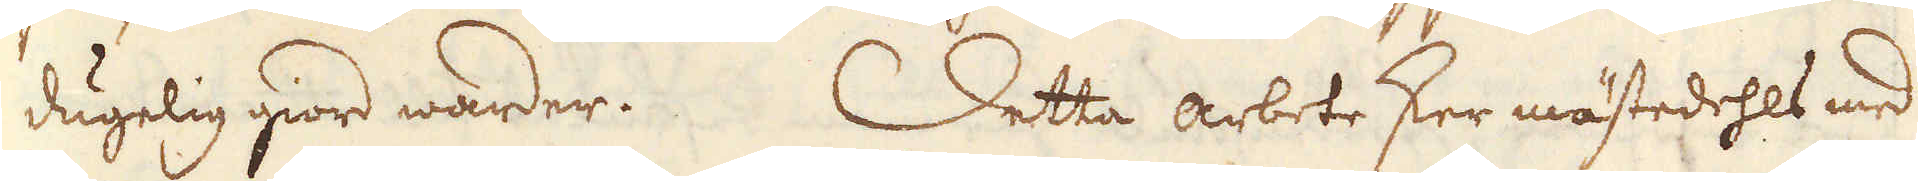dugelig giord warder. Detta arbete sker mästedehls med
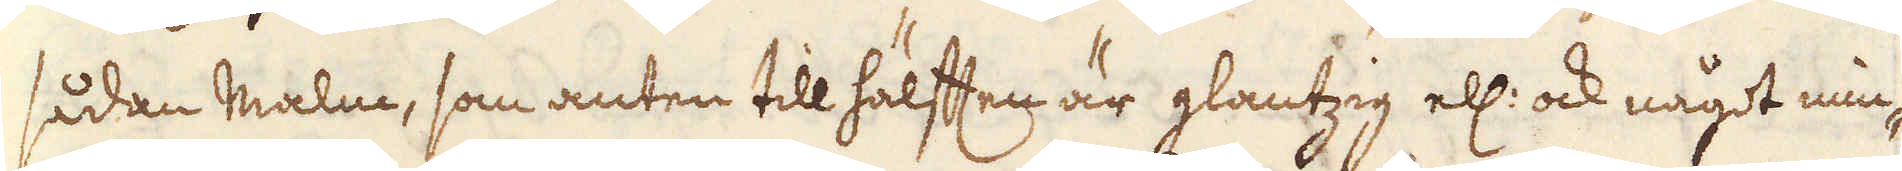sådan malm, som anten till hälften är glantzig ell: ock något min-
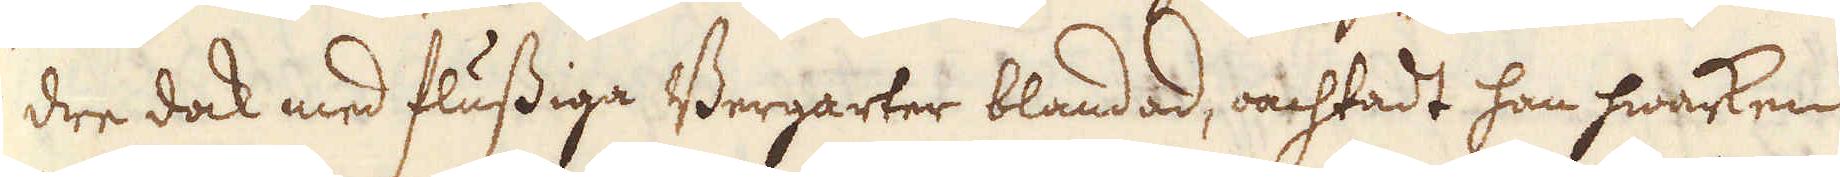dre dock med flussiga Bergarter blandad, oachtadt han hwarken
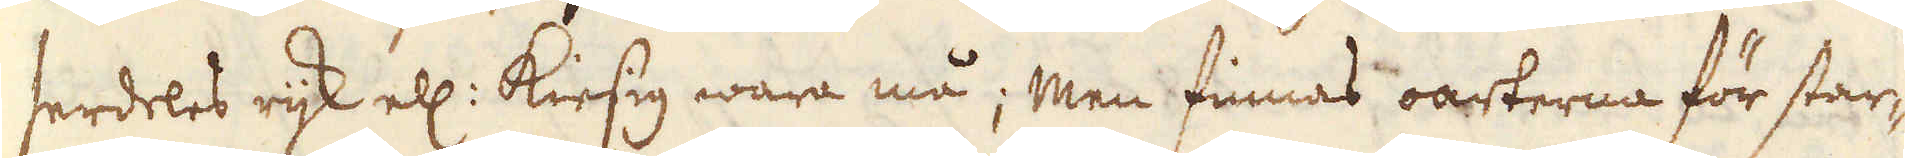serdeles rijk ell: kiesig wara må; Men finnas oarterna för star-
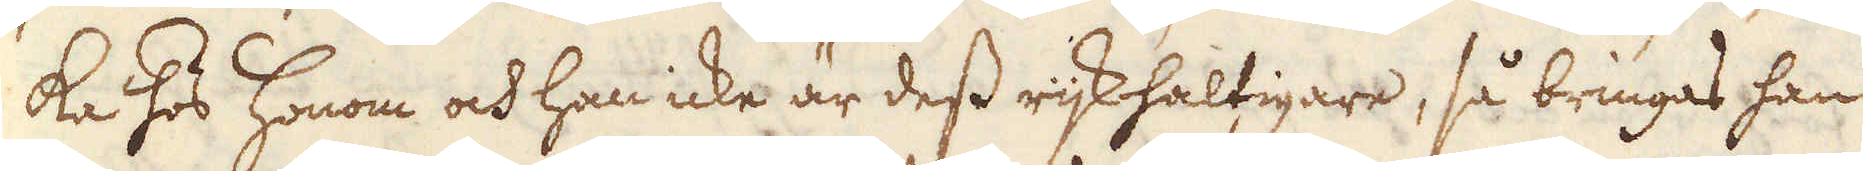ka hos honom och han icke är dess rijkhaltigare, så bringas han
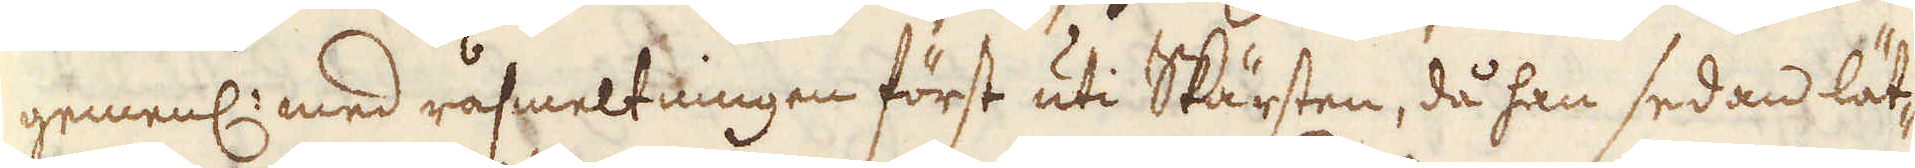gemenl: med råsmeltningen först uti Skärsten, då han sedan lät-
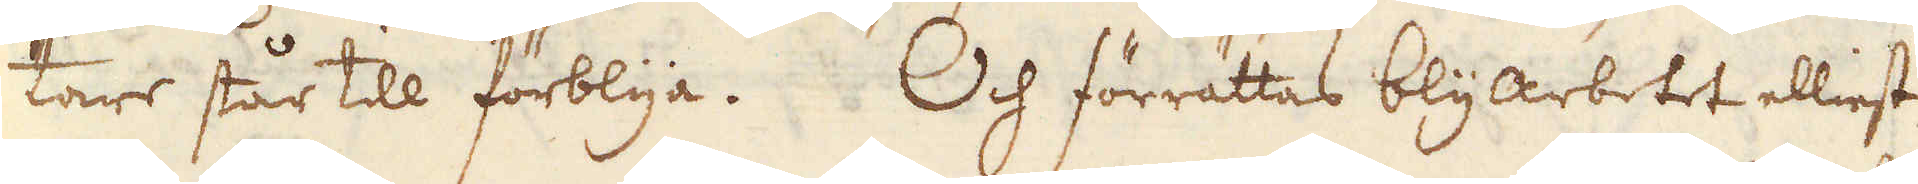tare står till förblya. Och förrättas blyarbetet elliest
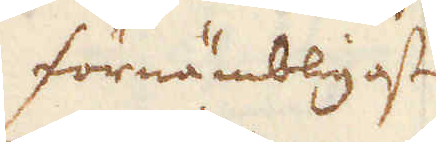förnämbligast
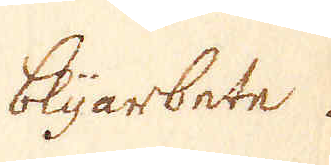blyarbete.
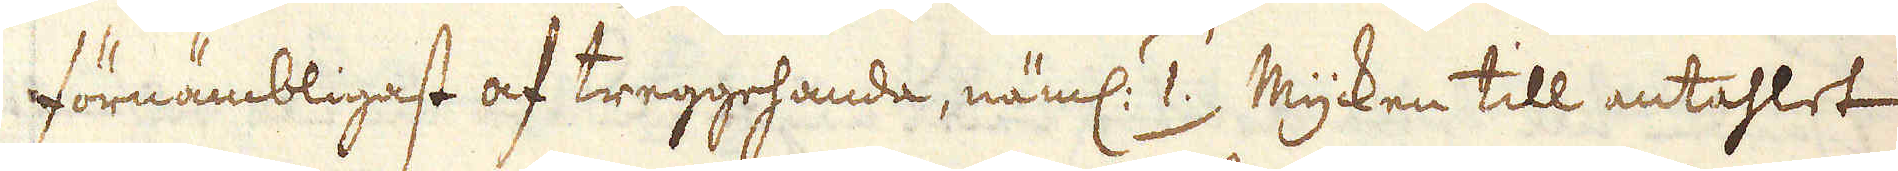förnämbligast af treggehanda, näml: 1.) Mycken till antahlet
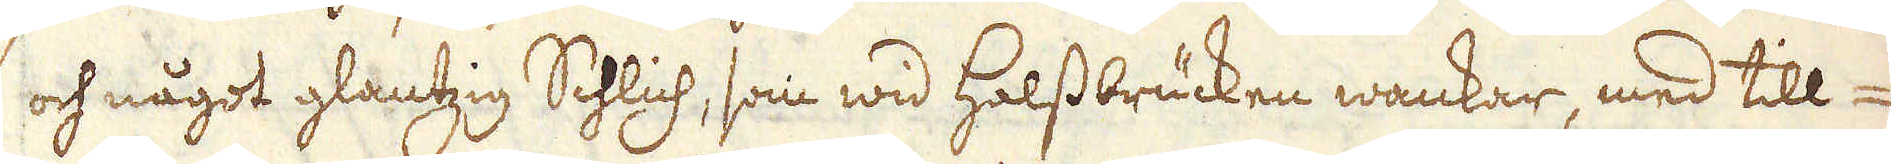och något glantzig Schlich, som wid Halssbrücken wankar, med till-
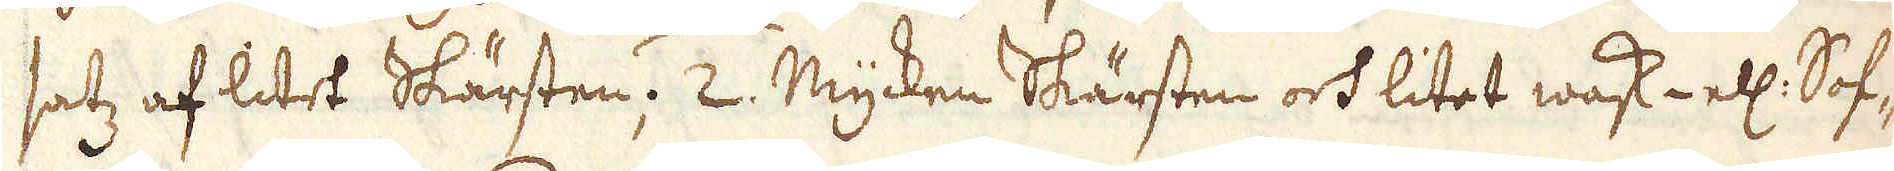satz af litet Skärsten; 2. Mycken Skärsten och litet wask- ell: Sof-
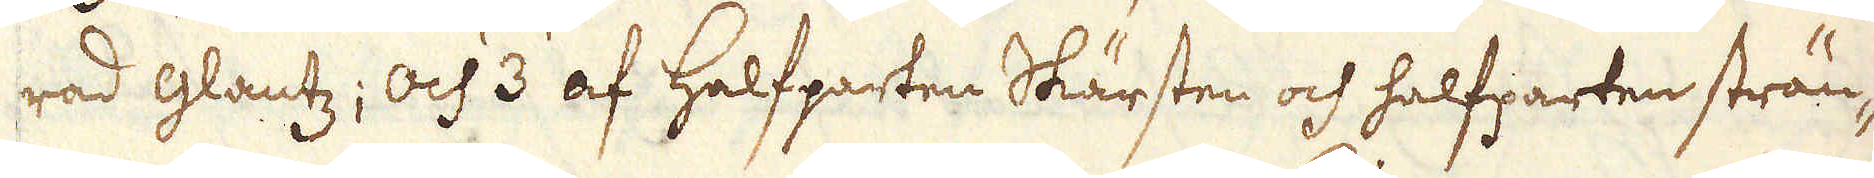rad glantz; och 3 af halfparten Skärsten och halfparten strän-
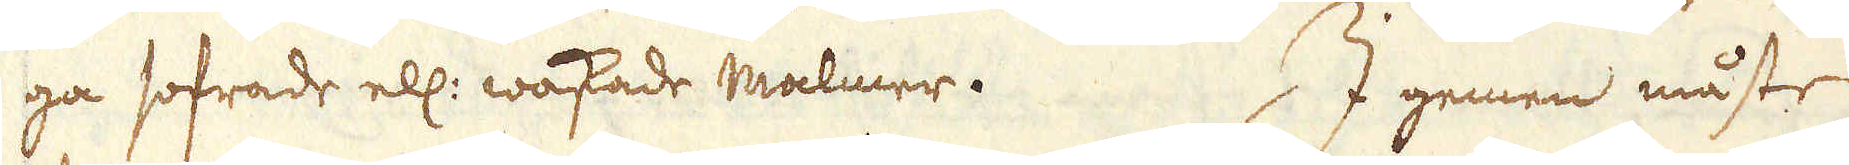ga sofrade ell: waskade Malmer. I gemen måste
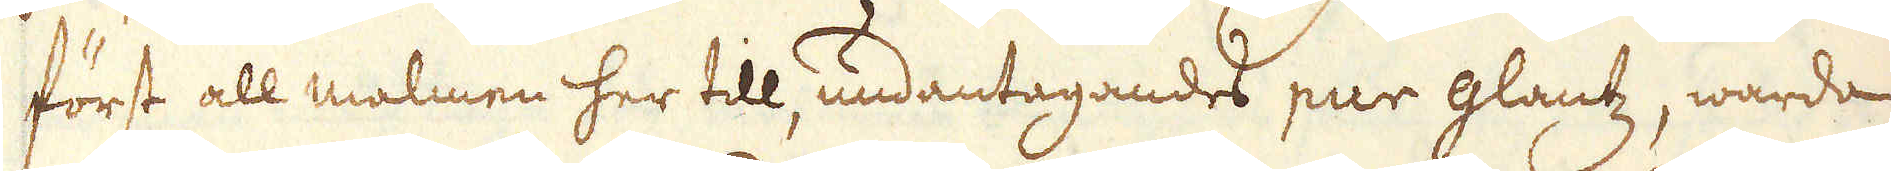först all malmen her till, undantagandes pur glantz, warda
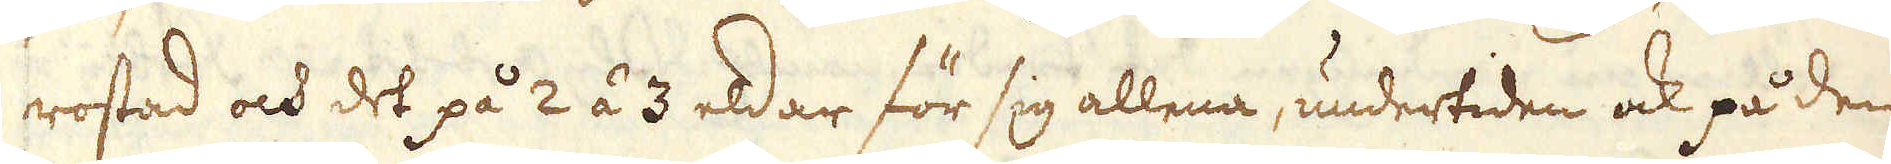rostad och det på 2 á 3 eldar för sig allena, undertiden ock på den
